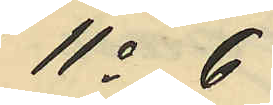11o 6
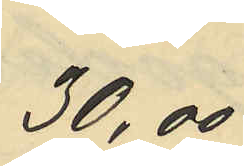30,00
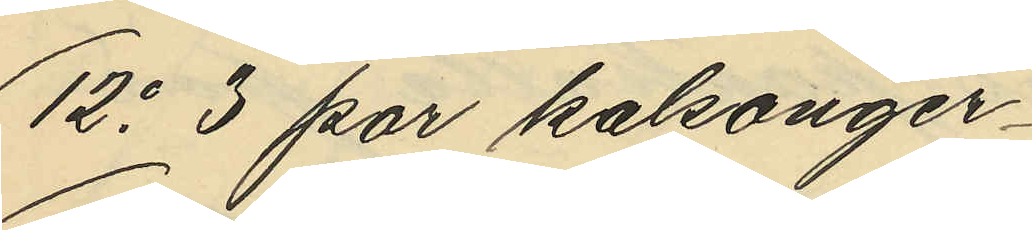12o 3 par kalsonger
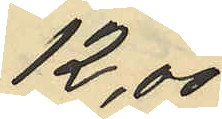12,00
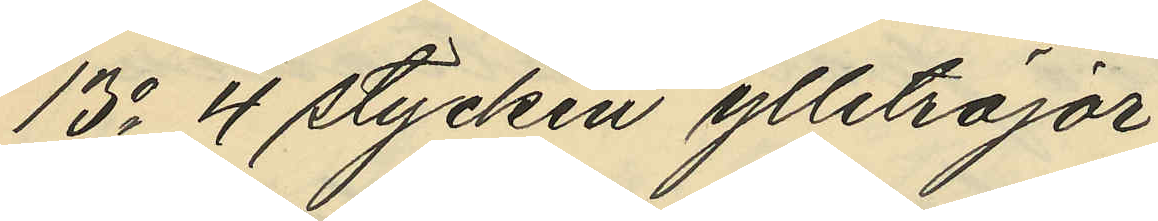13o 4 stycken ylletröjor
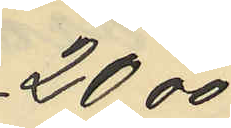20,00
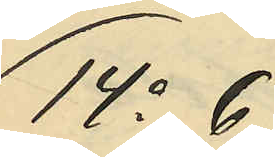14o 6
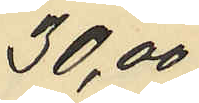30,00
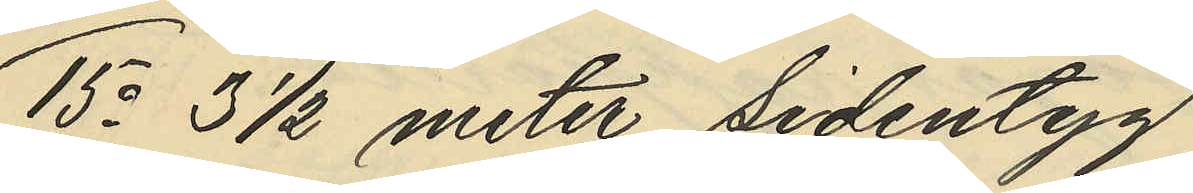15o 3 1/2 meter sidentyg
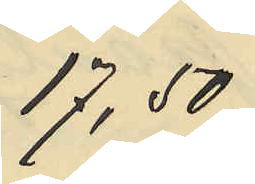17,50
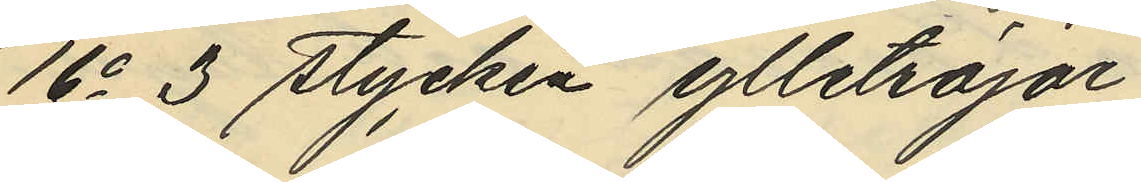16o 3 stycken ylletröjor
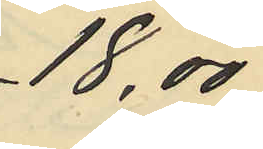18,00
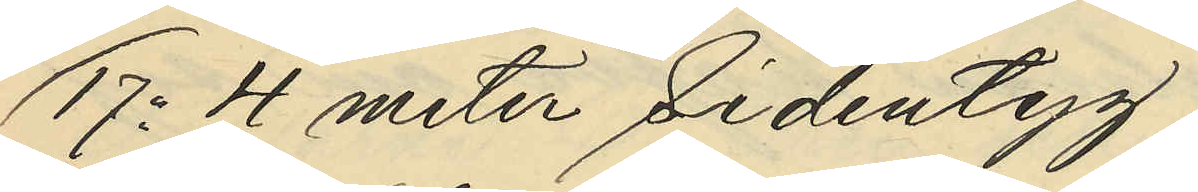17o 4 meter Sidentyg
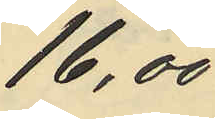16,00
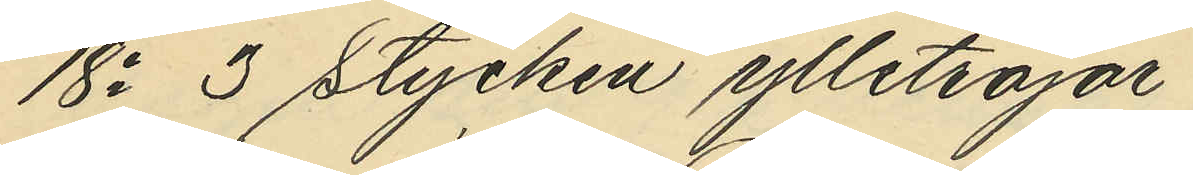18o 3 stycken ylletröjar
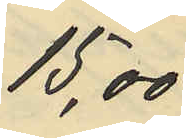15,00
